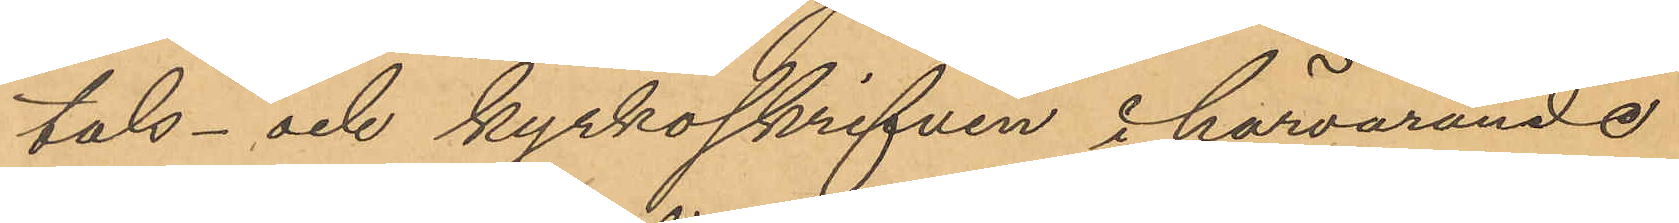tals- och kyrkoskrifven i härvarande
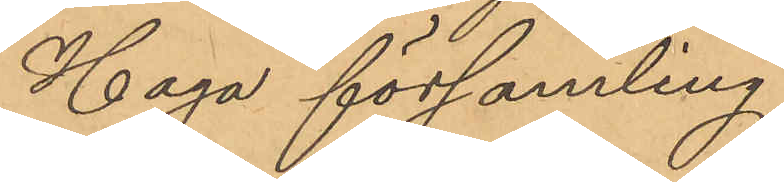Haga församling.
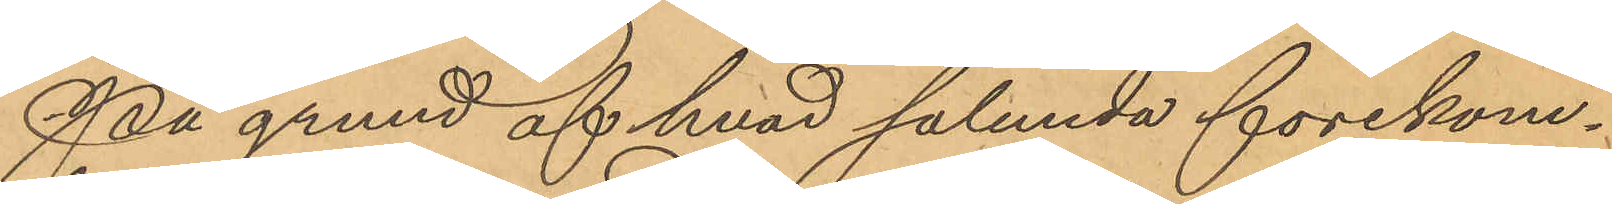På grund af hvad sålunda förekom¬
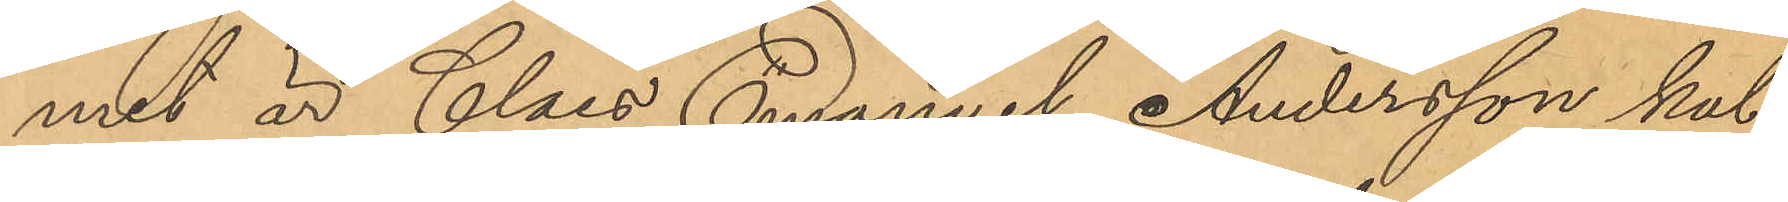mit är Claes Emanuel Andersson kal¬
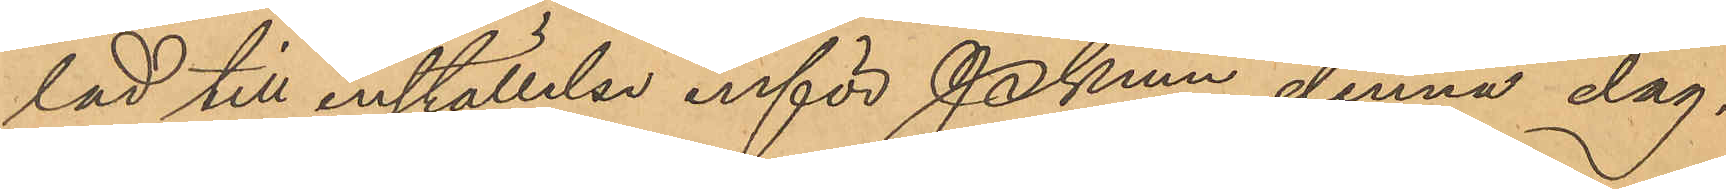lad till inställelse inför Pkmn denna dag.
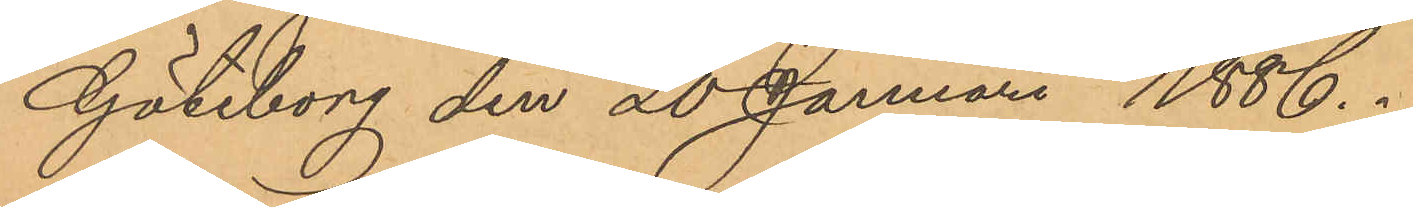Göteborg den 20 Januari 1886.
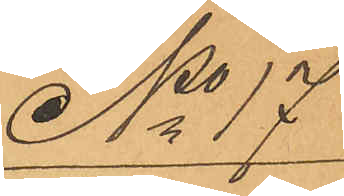No 17
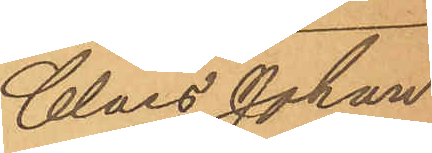Claes Johan
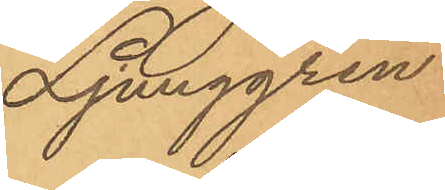Ljunggren.
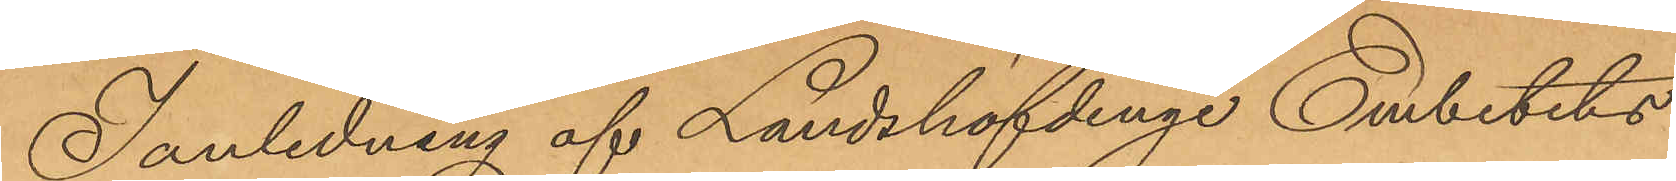I anledning af Landshöfdinge Embetets
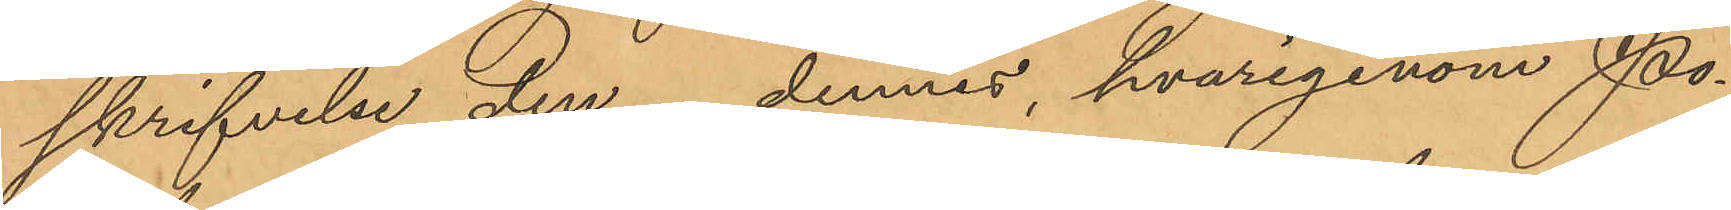skrifvelse den   dennes, hvarigenom Po¬
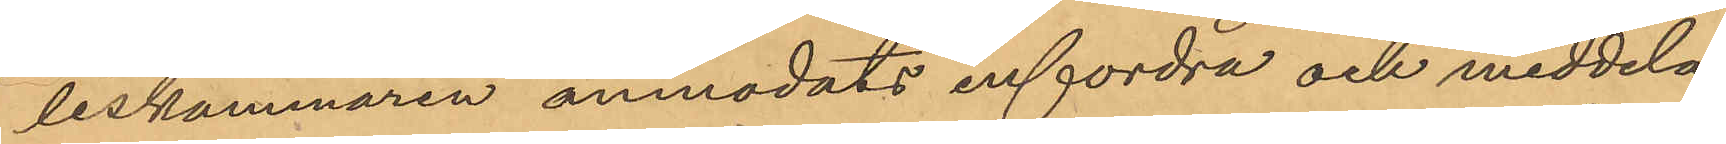liskammaren anmodats infordra och meddela
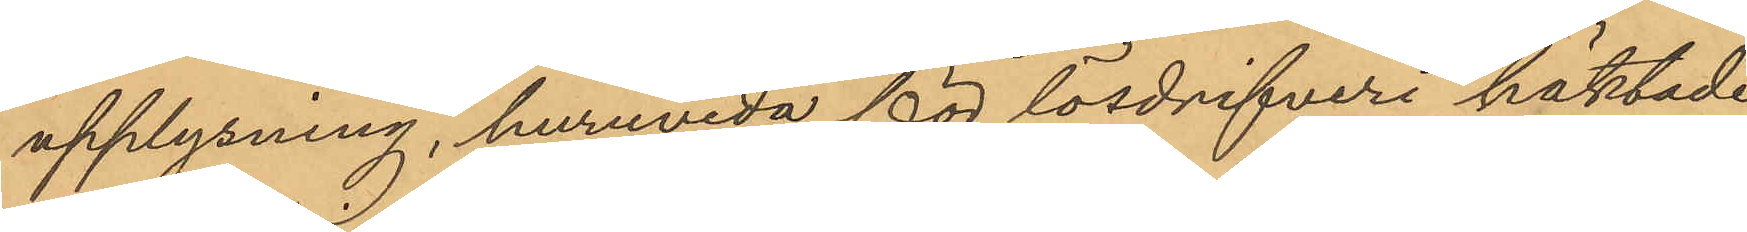upplysning, huruvida för lösdrifveri häktade
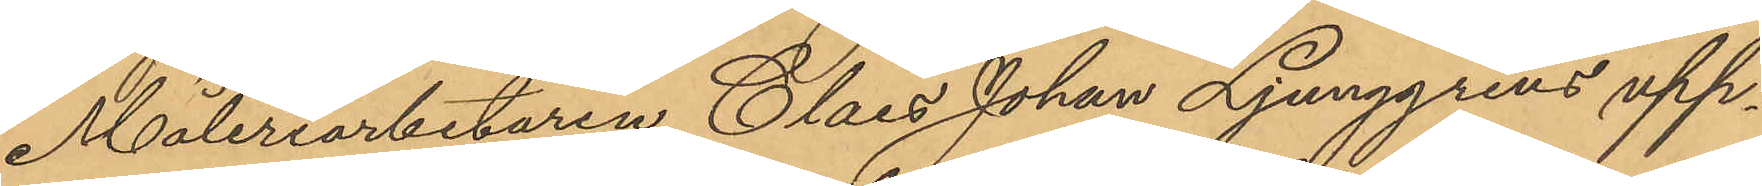Måleriarbetaren Claes Johan Ljunggrens upp¬
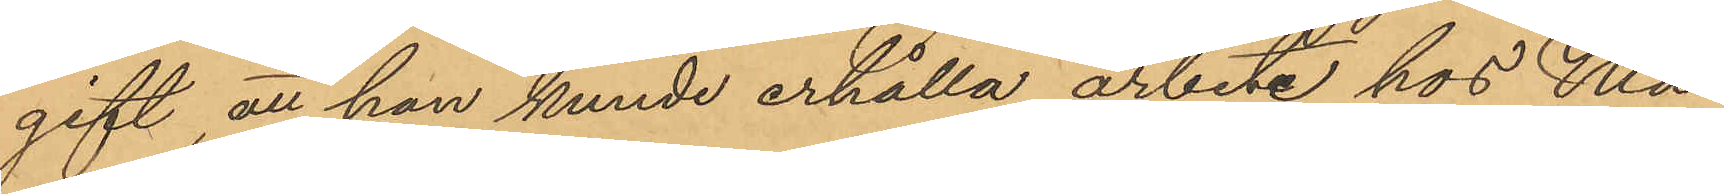gift, att han kunde erhålla arbete hos Må¬
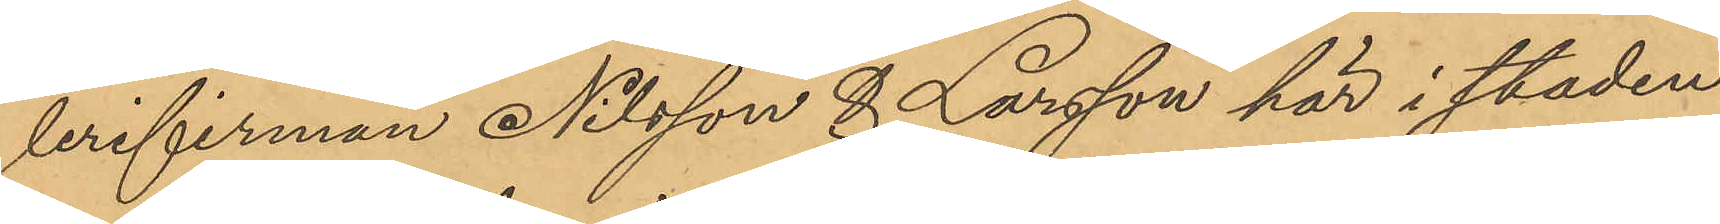lerifirman Nilsson & Larsson här i staden
